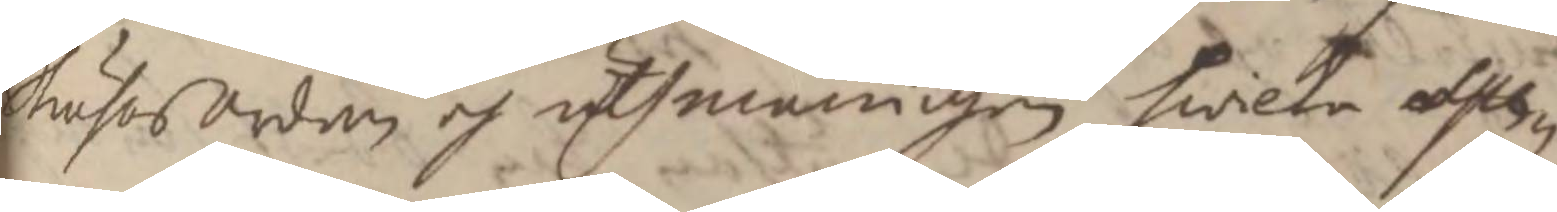StrusosOrden och uthmaningen hwilka      
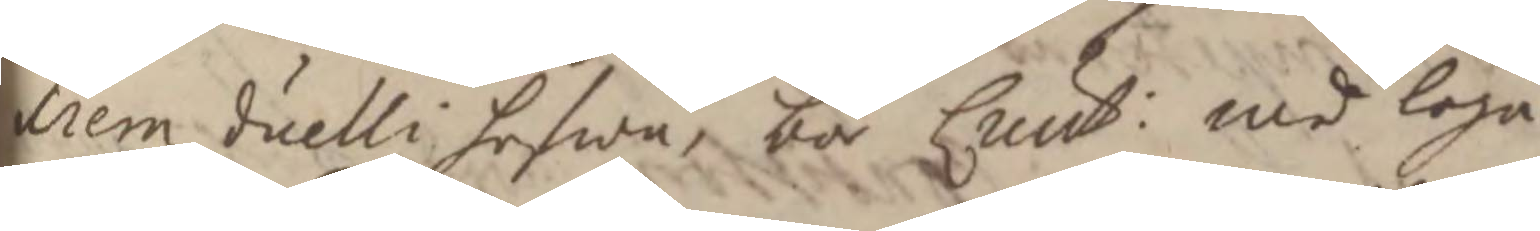liem duelli hafwa, bör Lieut: med loga
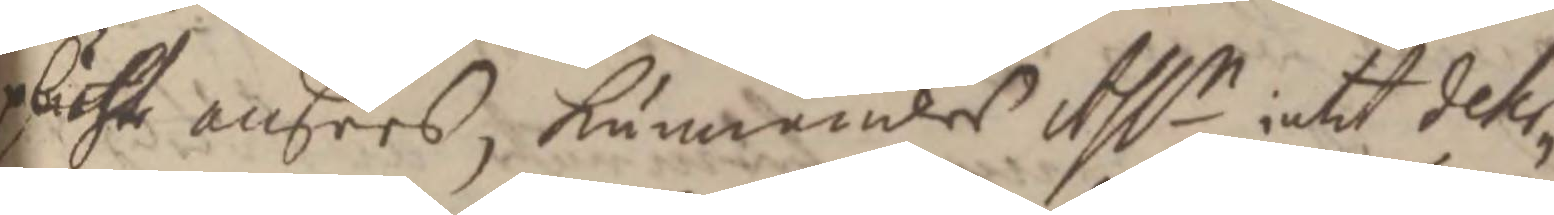plichte ansees, kunnandes Ass.n intet deter¬
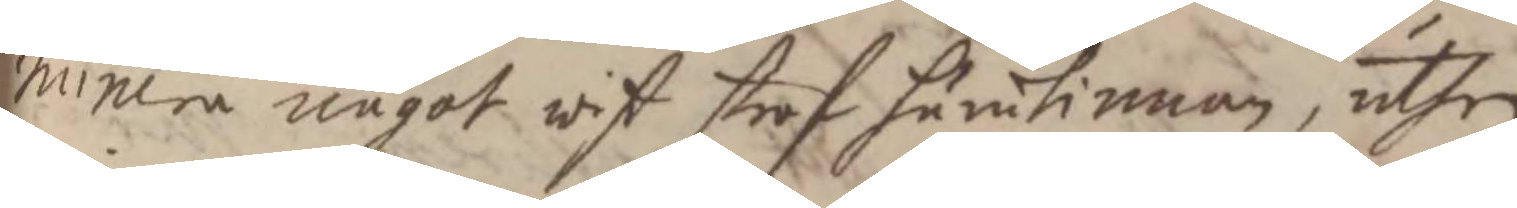minera något wist straf härutinnan, uthan
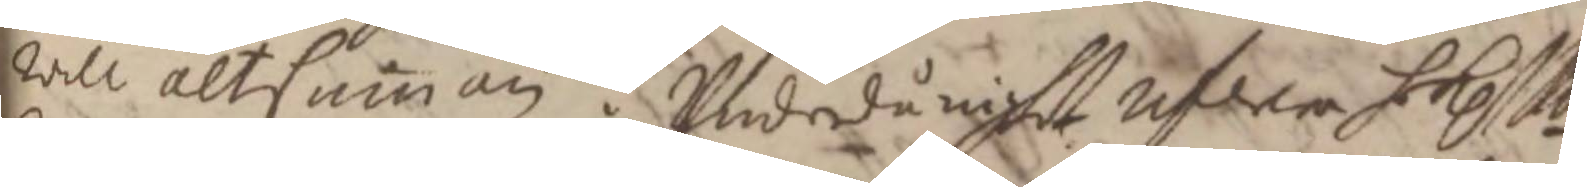will altsamman i Underdånighet referera h. K.Mtt
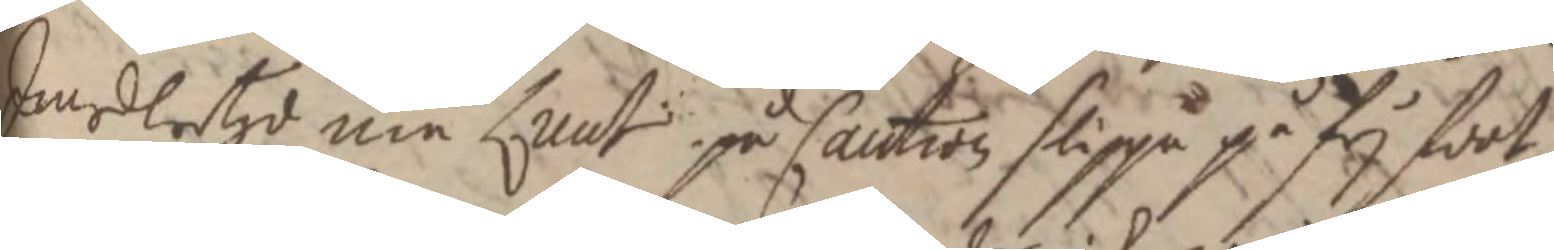Imedlertijd må Lieut på Caution slippa på frj foot
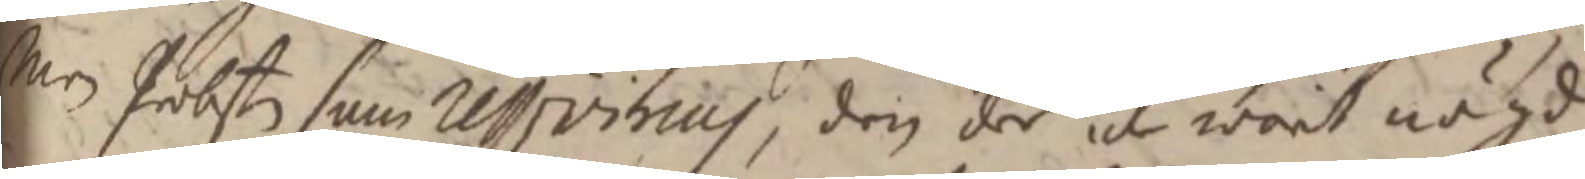Men Probsten som ressivirius, den der icke warit nögd
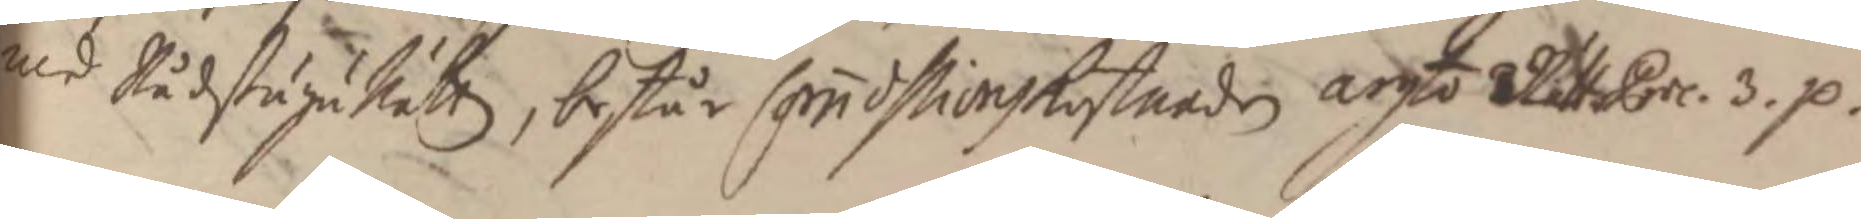med RådstuguRättz, består Commossionskostnaden argto RättsProc. 3. p.
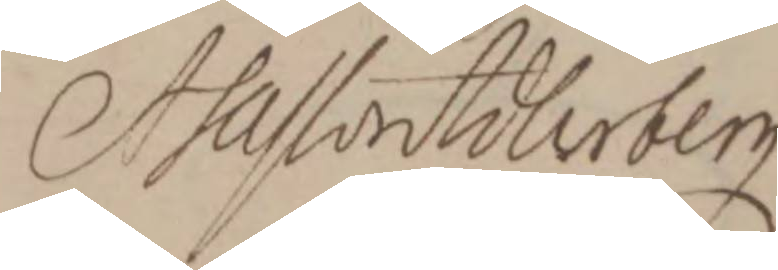Assessor Adlerberg
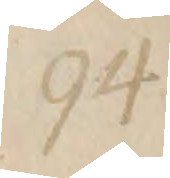94
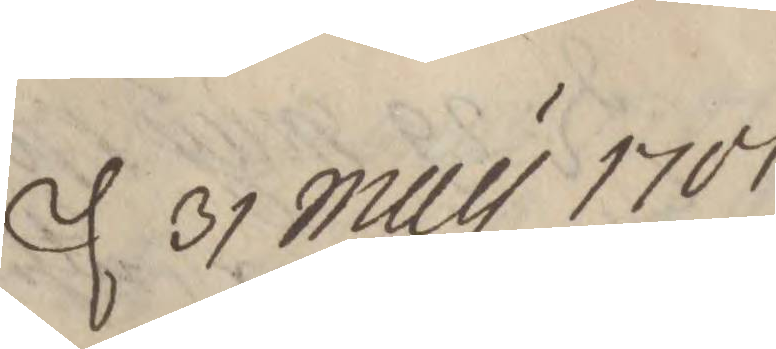d. 31 Maij 1701
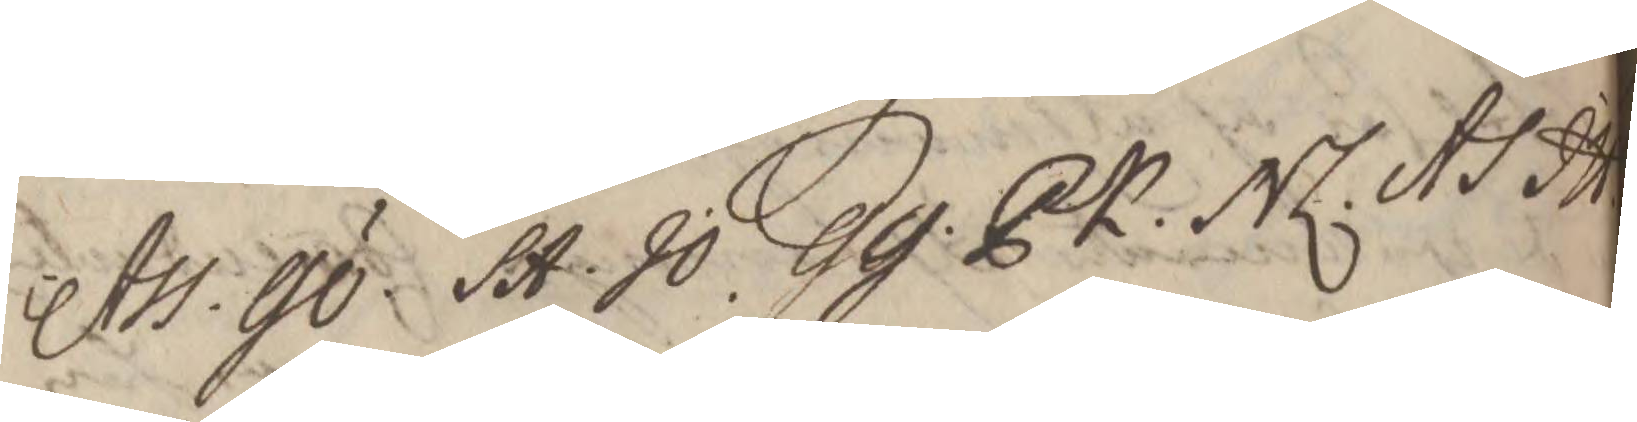Ass. GÖ. SA. JO. GG. PK. NL. AS JH
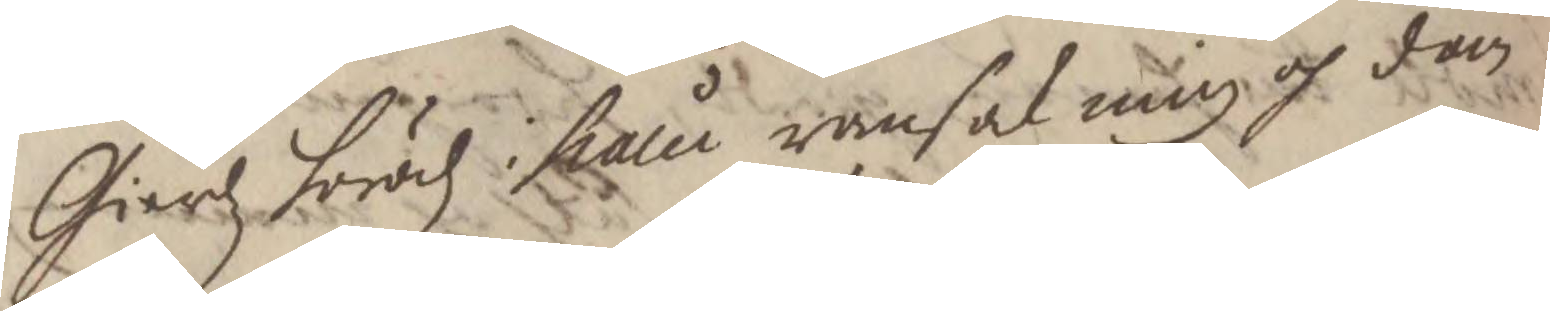Gierdz häradz hålen ransakning och dom
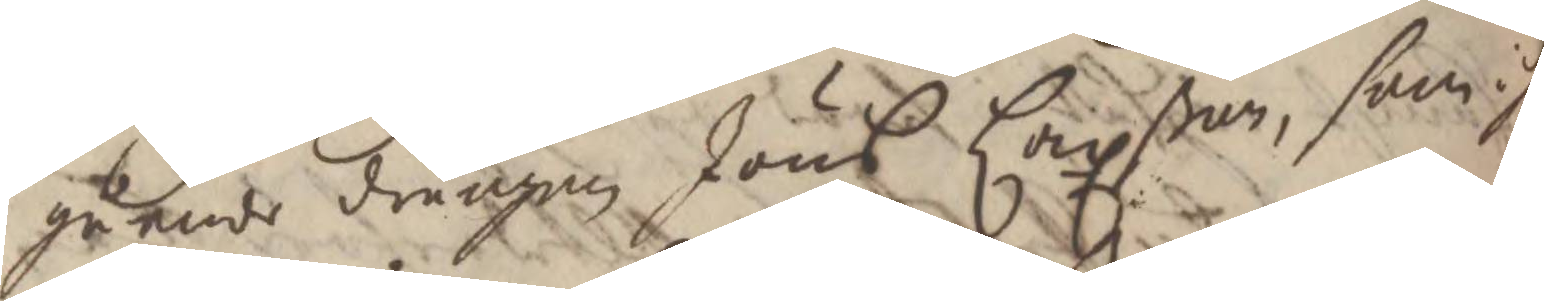angående drängen Jöns Laxßon, som i si
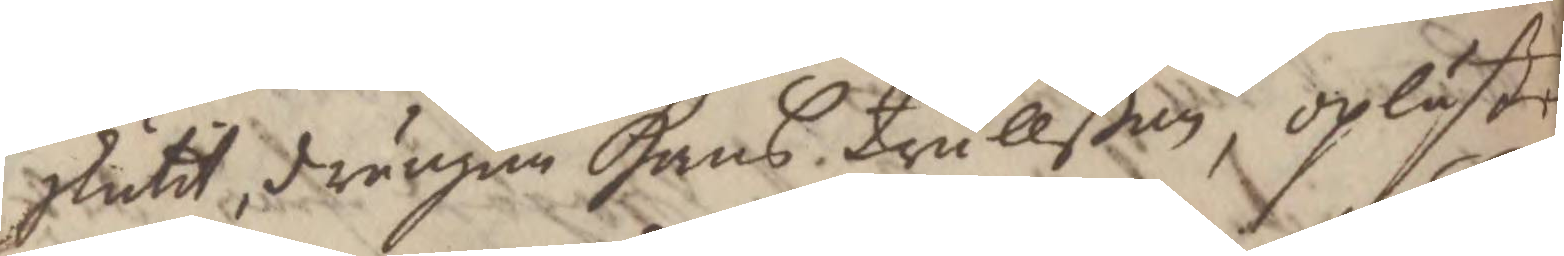skutit, drängen Hans Trullßon, oplästes
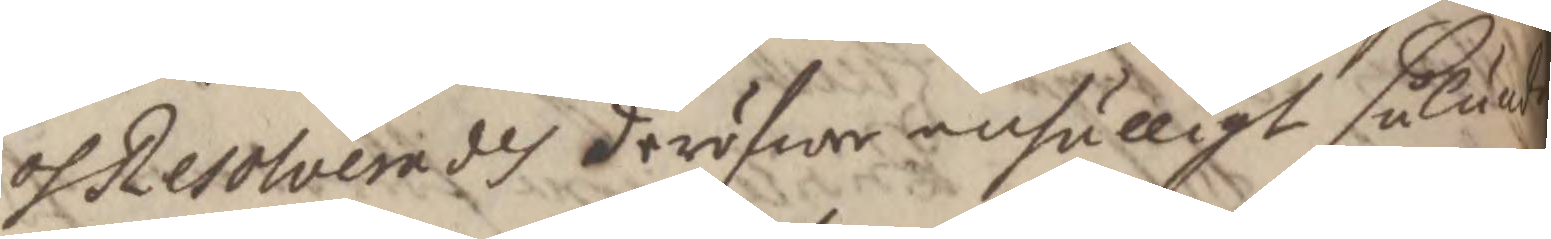och Resolverades deröfwer enhälligt sålunda
